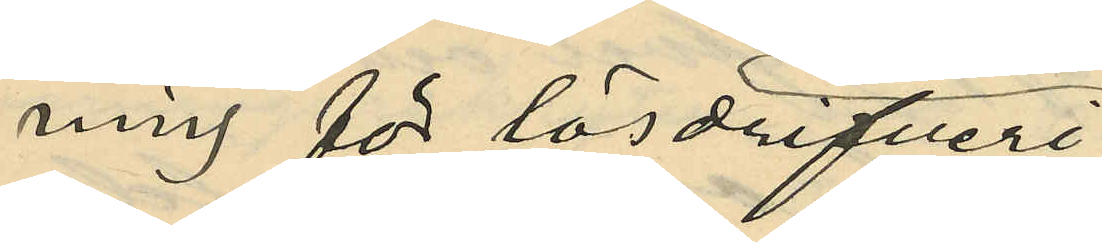ning för lösdrifveri
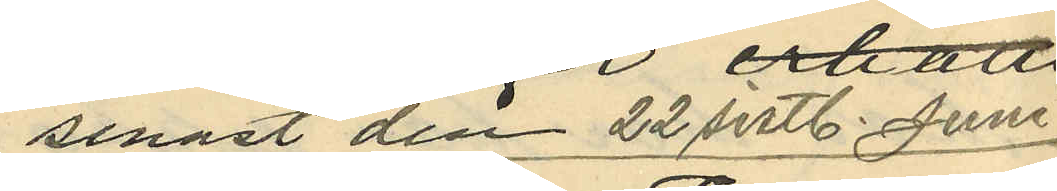senast den 22 sistl. Juni
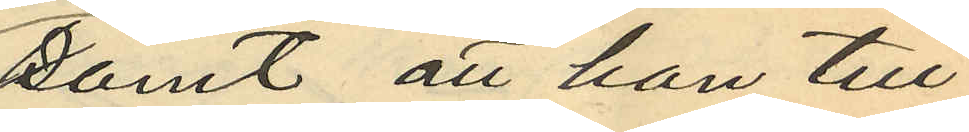samt att han till¬
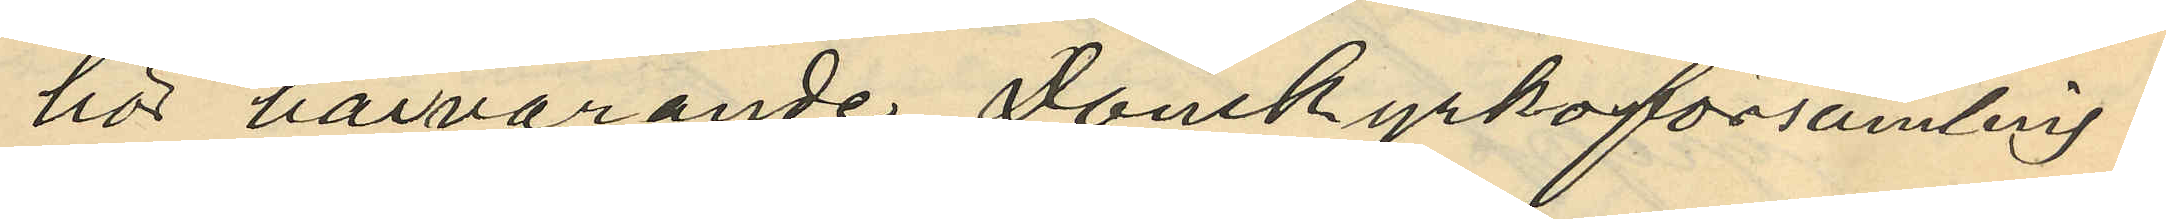hör härvarande Domkyrkoförsamling.
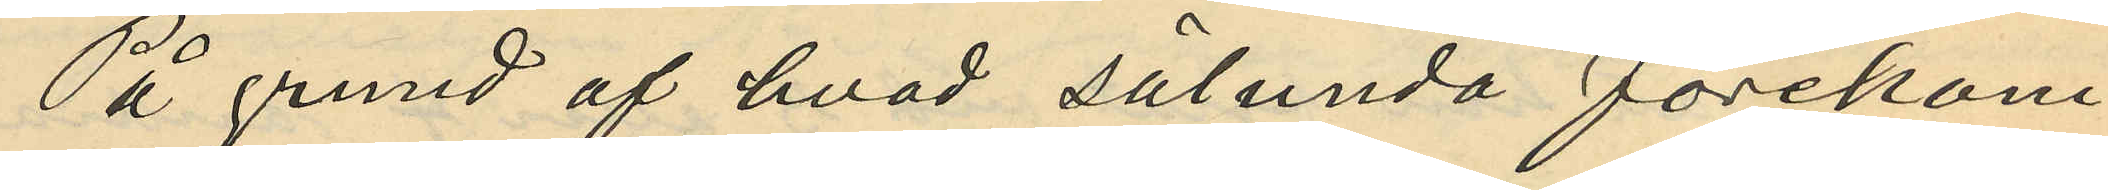På grund af hvad sålunda förekom¬
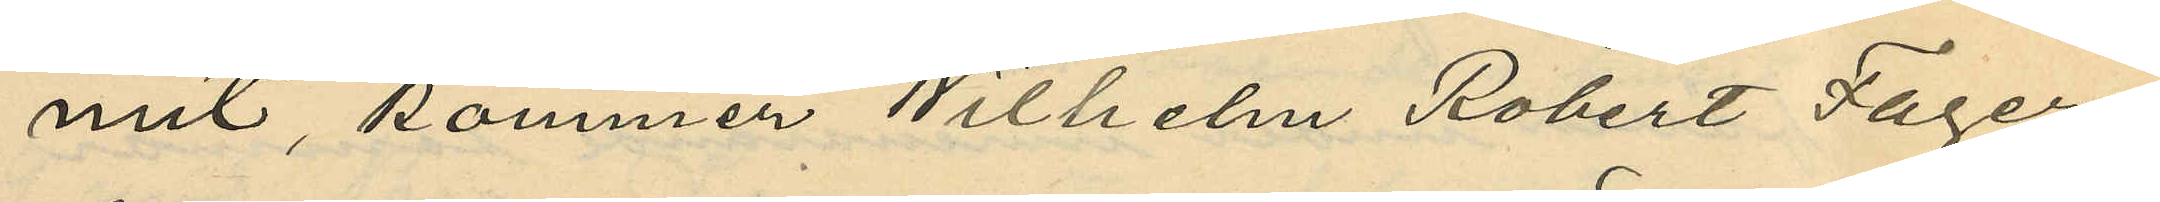mit, kommer Wilhelm Robert Fager¬
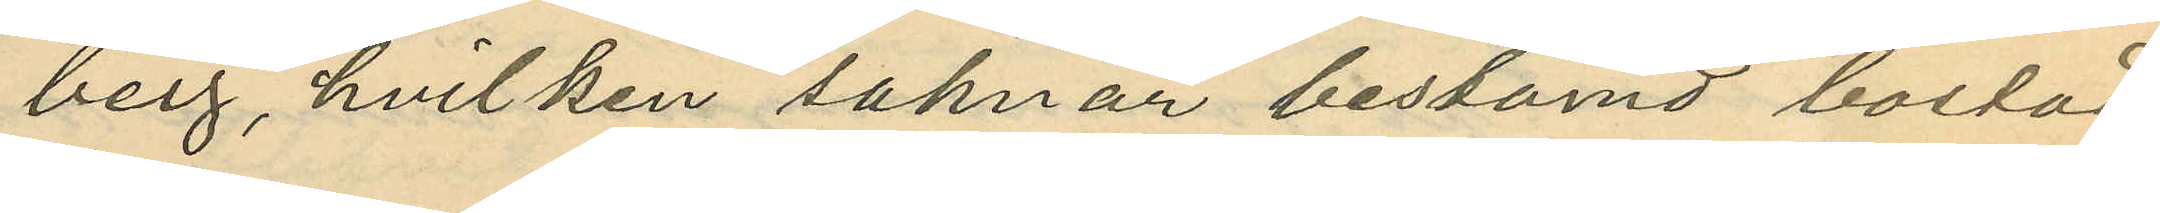berg, hvilken saknar bestämd bostad
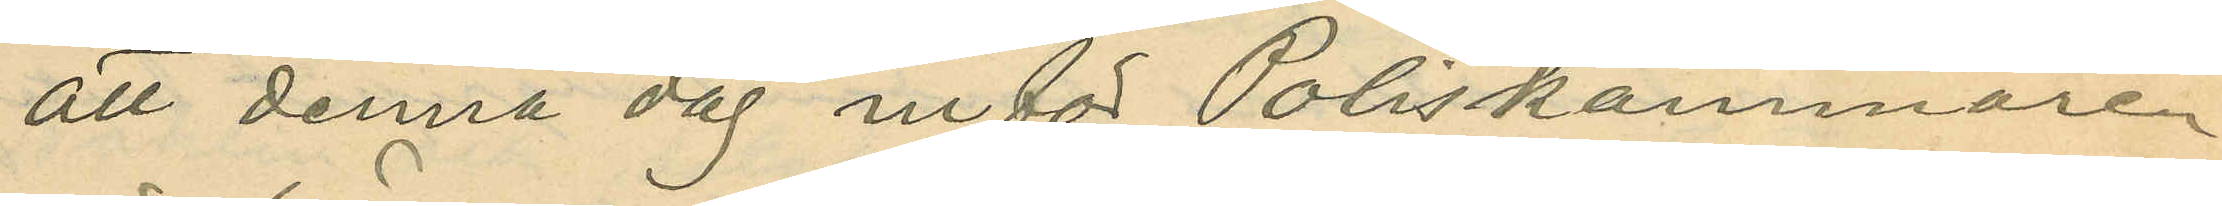att denna dag inför Poliskammaren
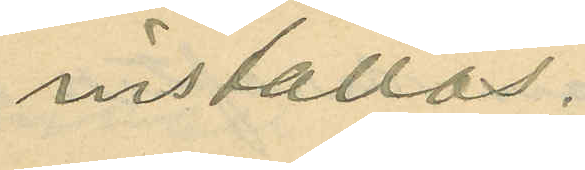inställas.
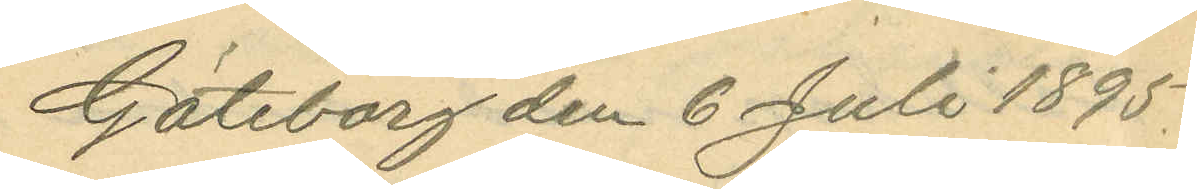Göteborg den 6 Juli 1895.
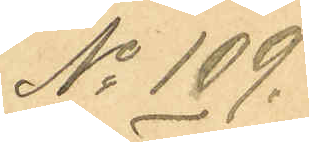No 109.
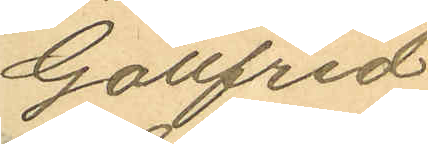Gottfrid
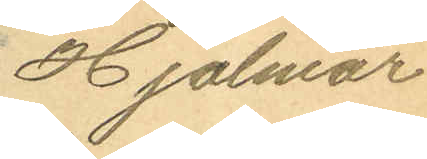Hjalmar
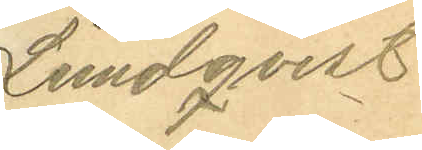Lundqvist
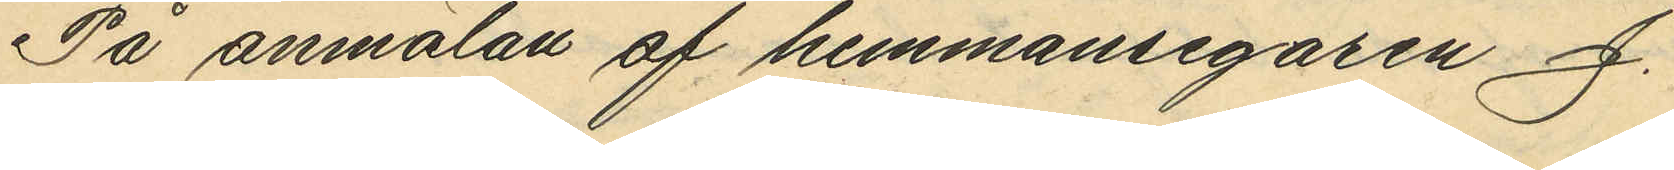På anmälan af hemmansegaren J.
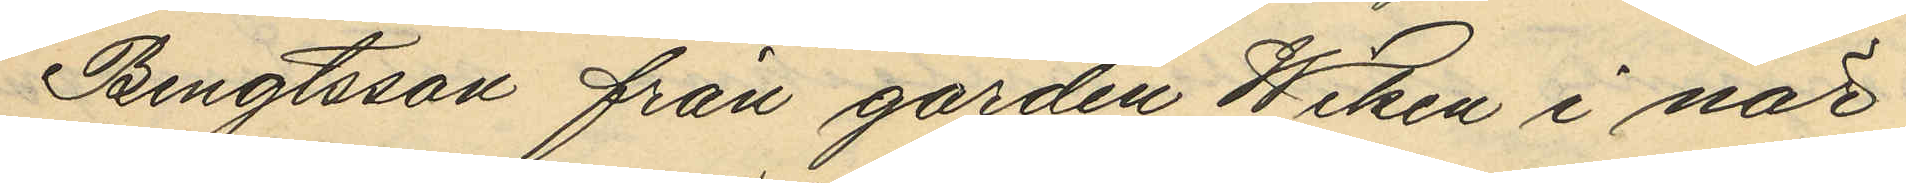Bengtsson från gården Wiken i när¬
